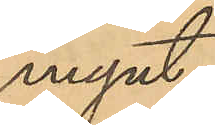mynt.
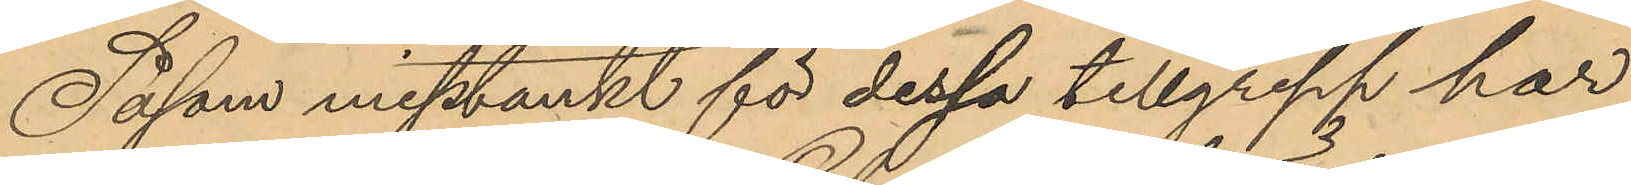Såsom misstänkt för dessa tillgrepp har
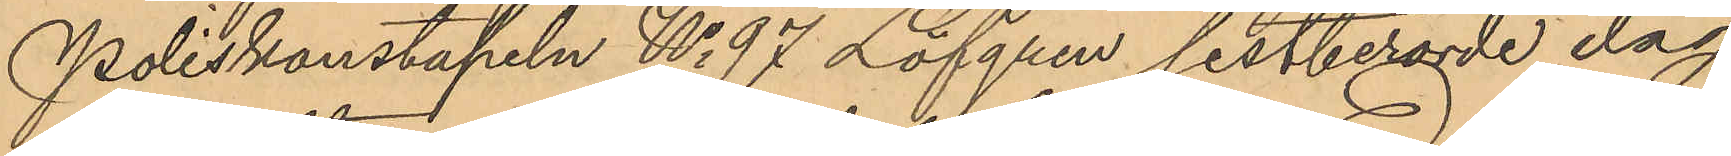Poliskonstapeln No 97 Löfgren sistberörde dag
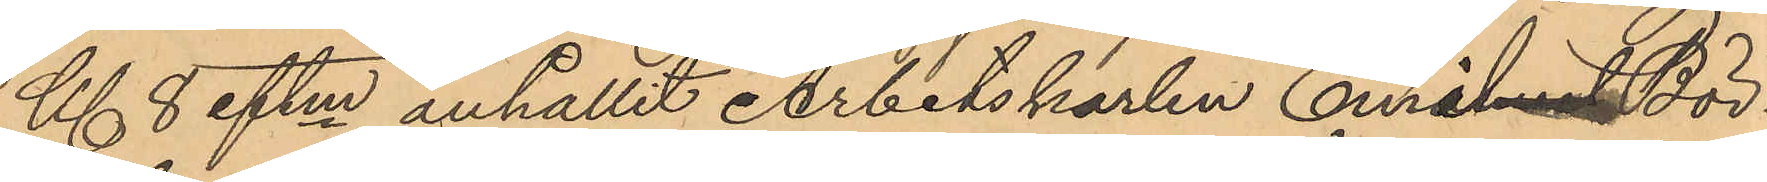Kl. 8 eftm anhållit Arbetskarlen Emil Bör¬
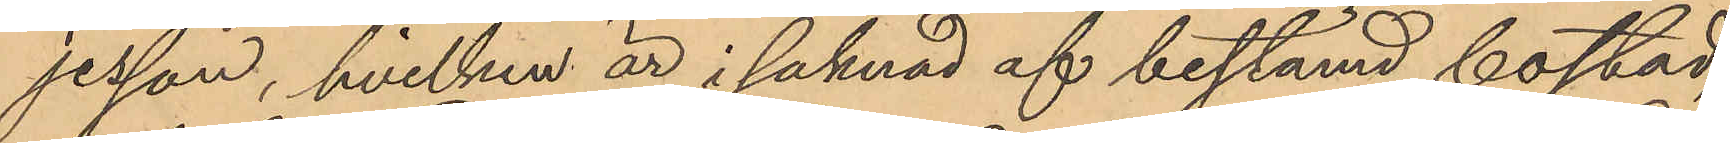jerson, hvilken är i saknad af bestämd bostad;
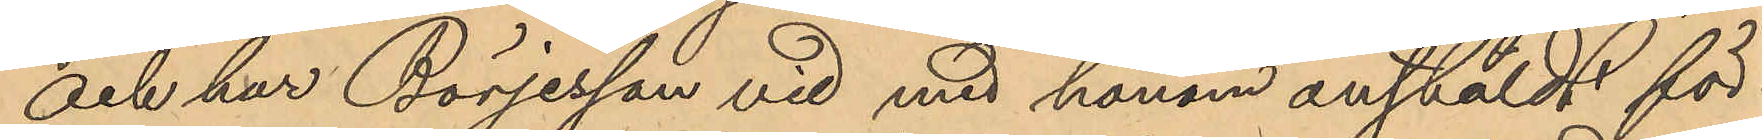och har Börjesson vid med honom anstäldt för¬
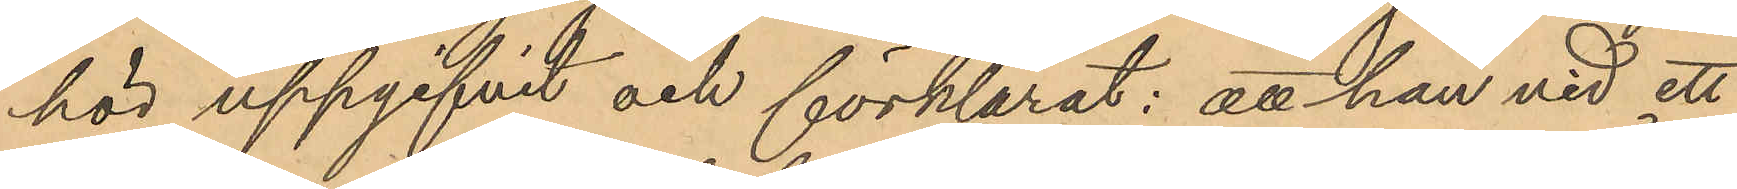hör uppgifvit och förklarat: att han vid ett
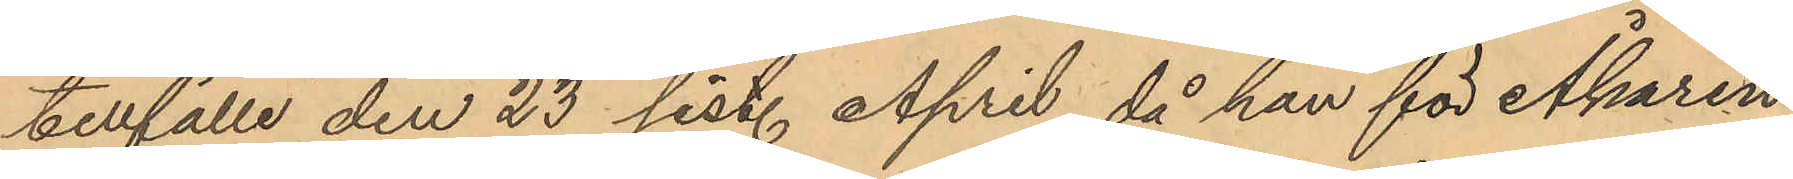tillfälle den 23 sist. April, då han för Åkaren
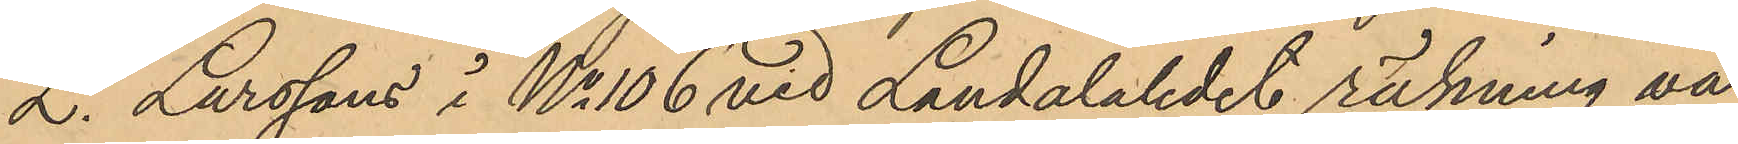L. Larssons i No 106 vid Landalaledet räkning va¬
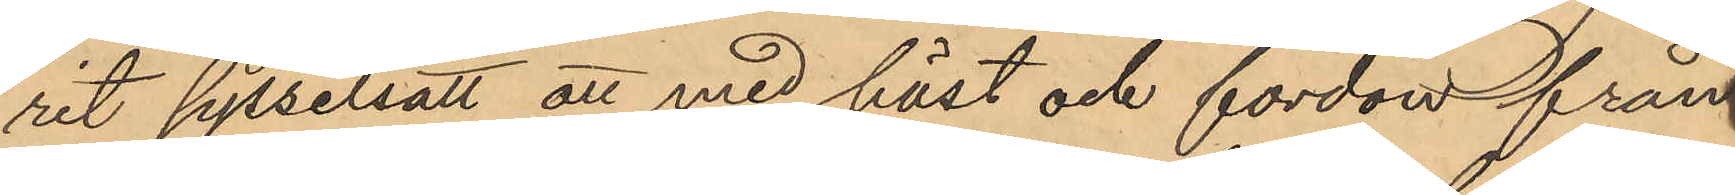rit sysselsatt att med häst och fordon från
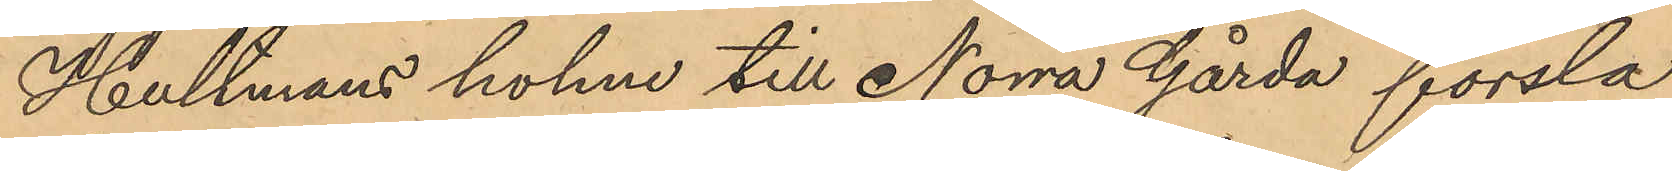Hultmans holme till Norra Gårda forsla
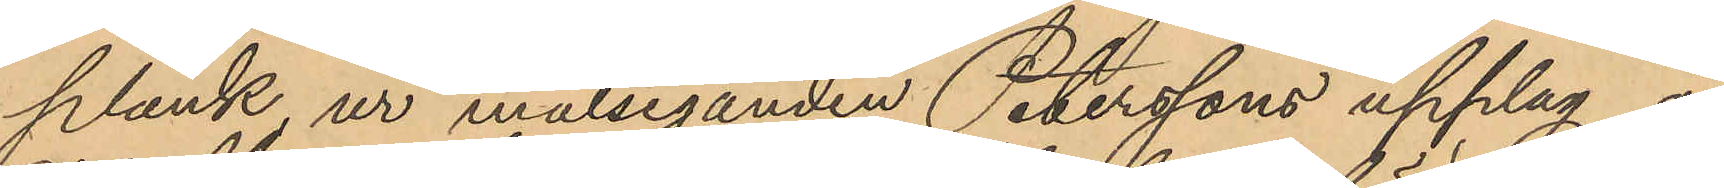plank ur målseganden Peterssons upplag å
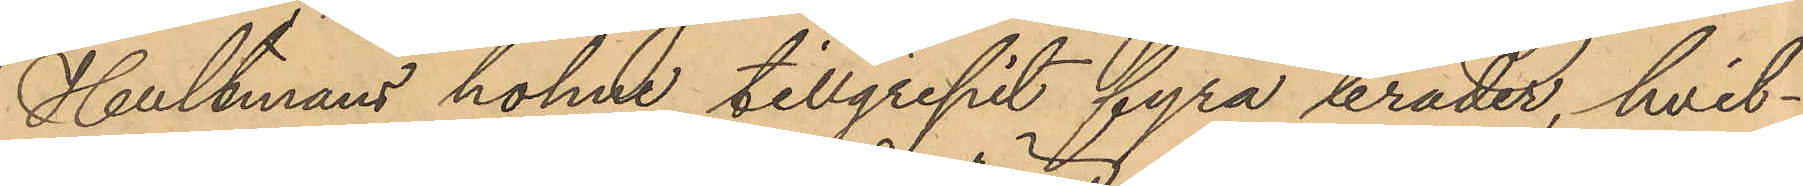Hultmans holme tillgripit fyra bräder, hvil¬
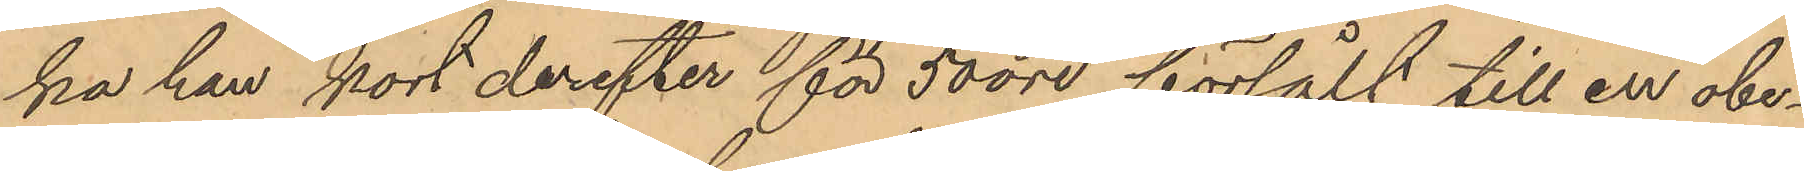ka han kort derefter för 50 öre försålt till en obe¬
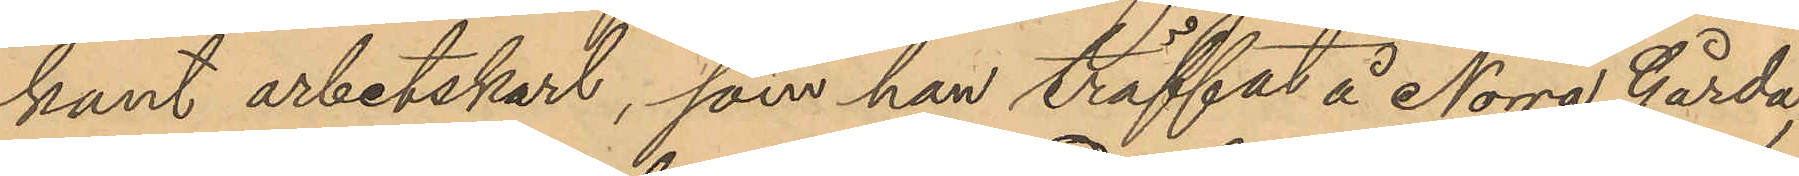kant arbetskarl, som han träffat å Norra Gårda;
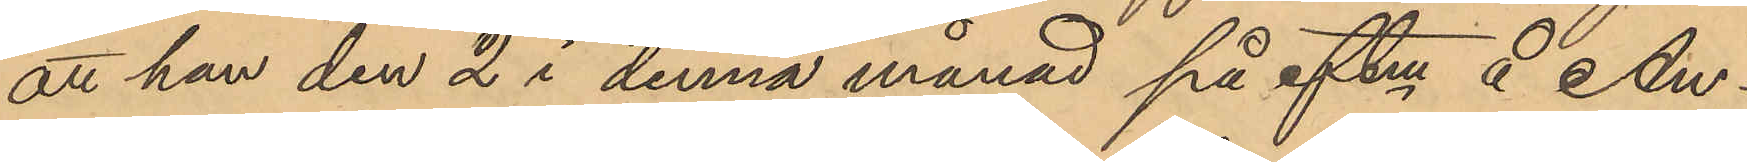att han den 2 i denna månad på eftm å An¬
